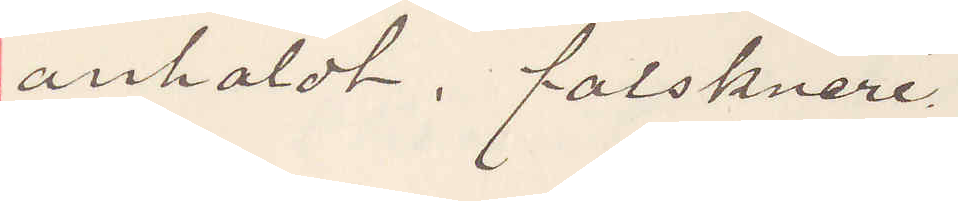anholdt. falskneri.
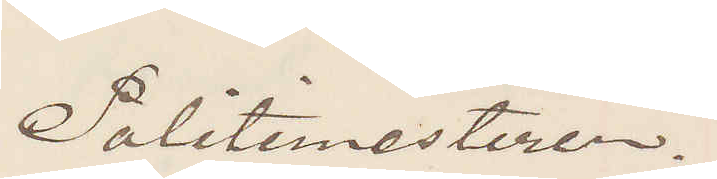Politimesteren.
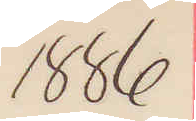1886
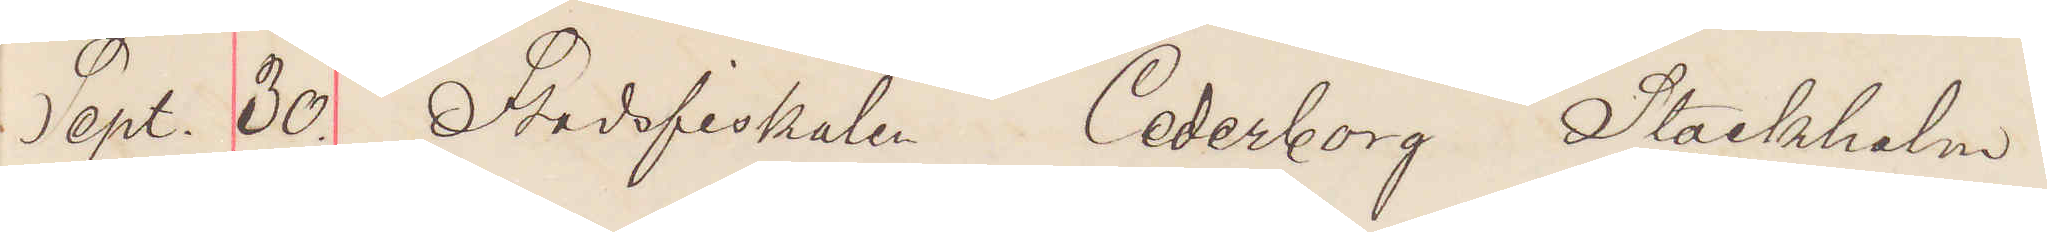Sept. 30. Stadsfiskalen. Cederborg Stockholm.
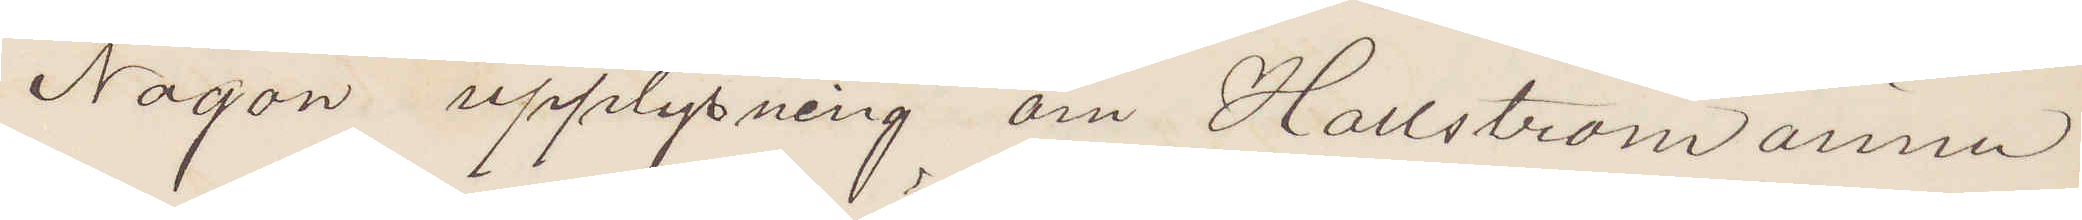Någon upplysning om Hallström ännu
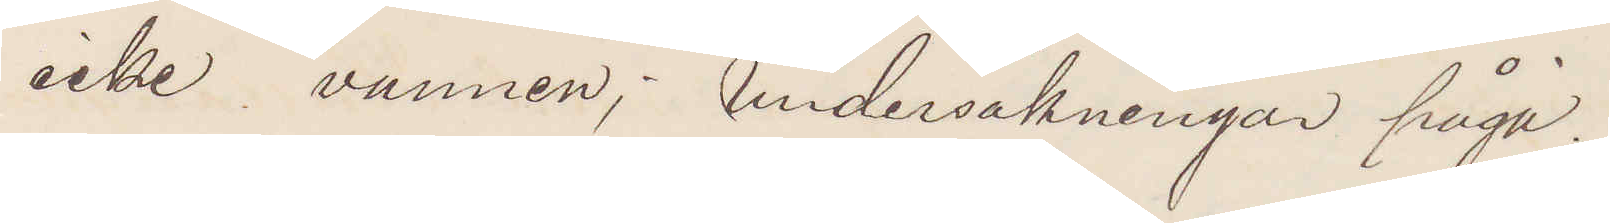icke vunnen; undersökningar pågå.
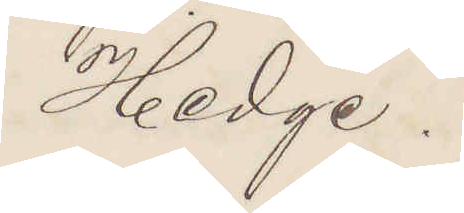Hedge.
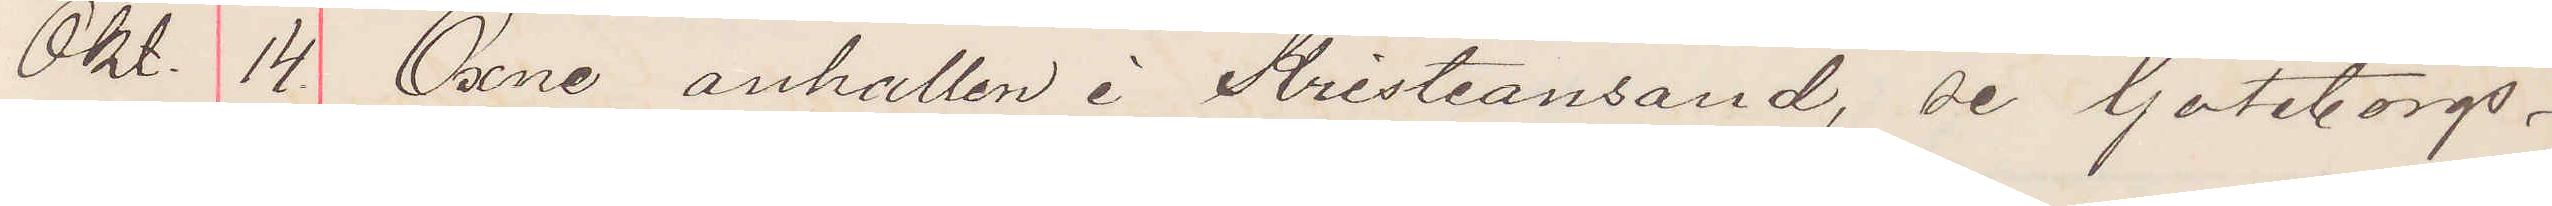Okt. 14. Öxne anhållen i Kristiansand, se Göteborgs¬
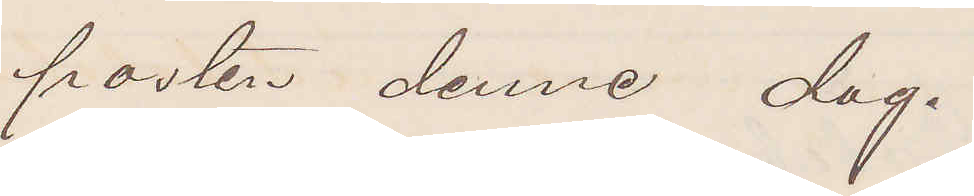posten denne dag.
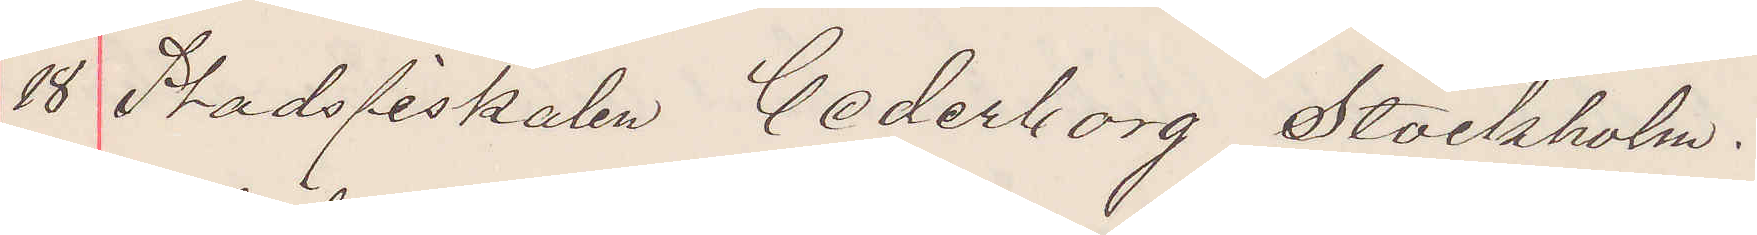18 Stadsfiskalen Cederborg Stockholm.
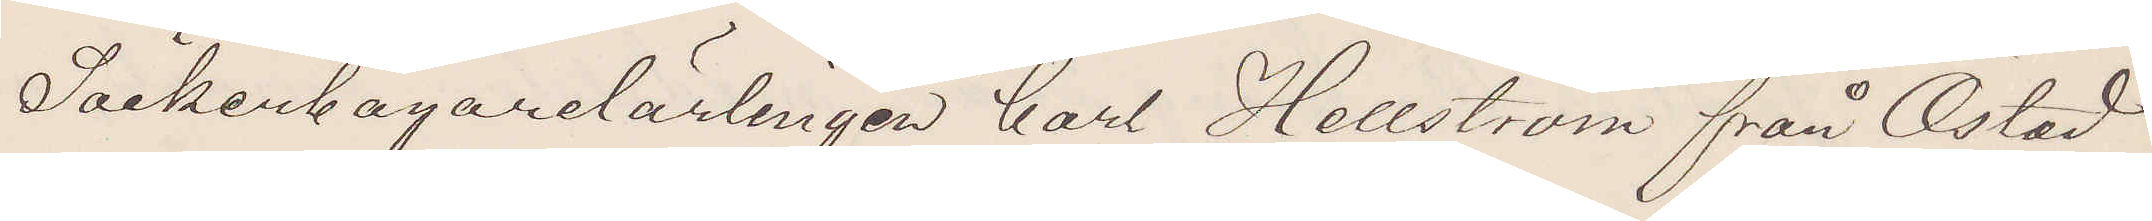Sockerbagarelärlingen Carl Hellström från Östad
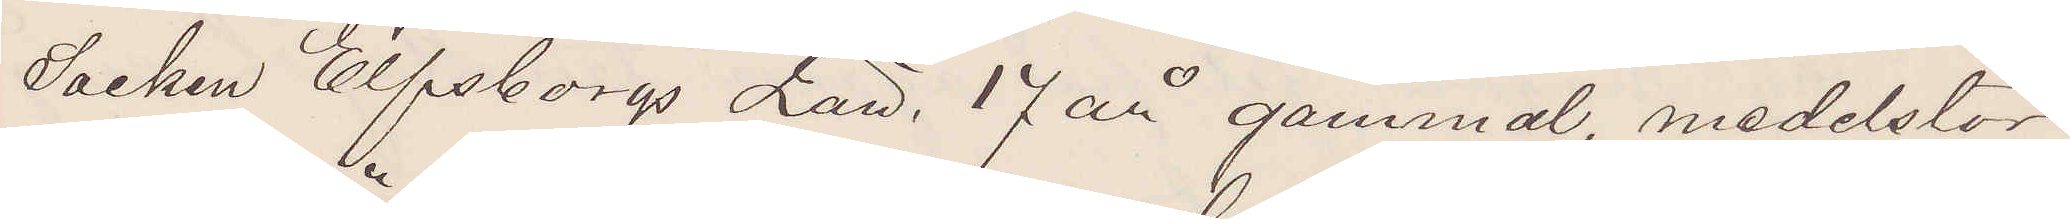Socken Elfsborgs Län, 17 år gammal, medelstor
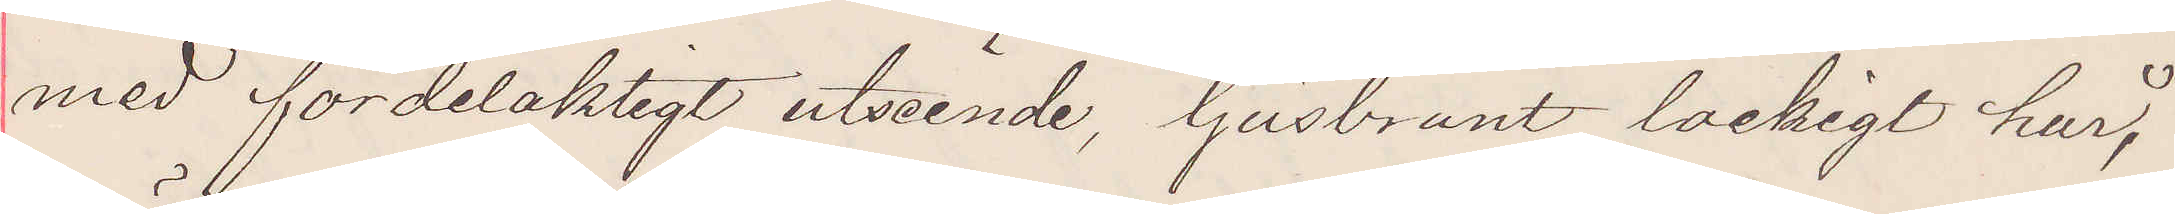med fördelaktigt utseende, ljusbrunt lockigt hår,
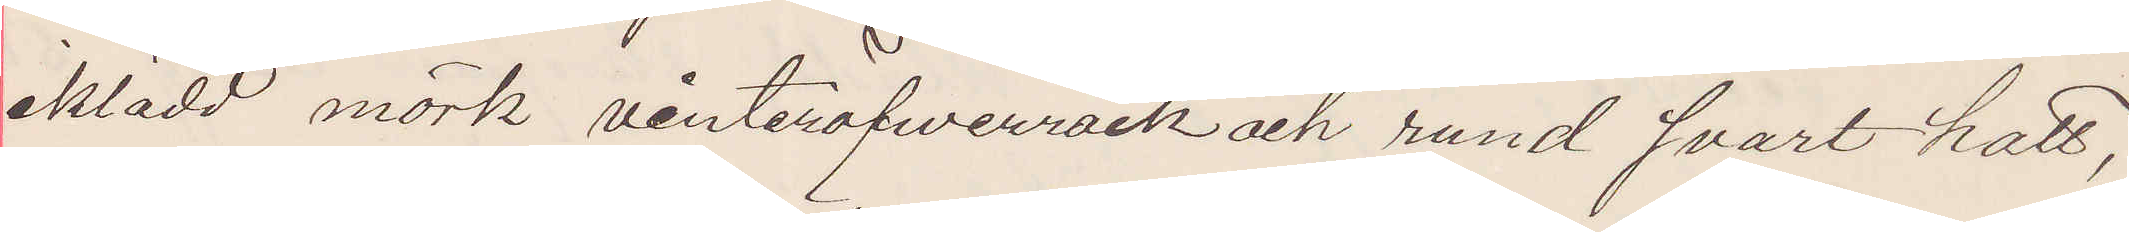iklädd mörk vinteröfwerrock och rund svart hatt,
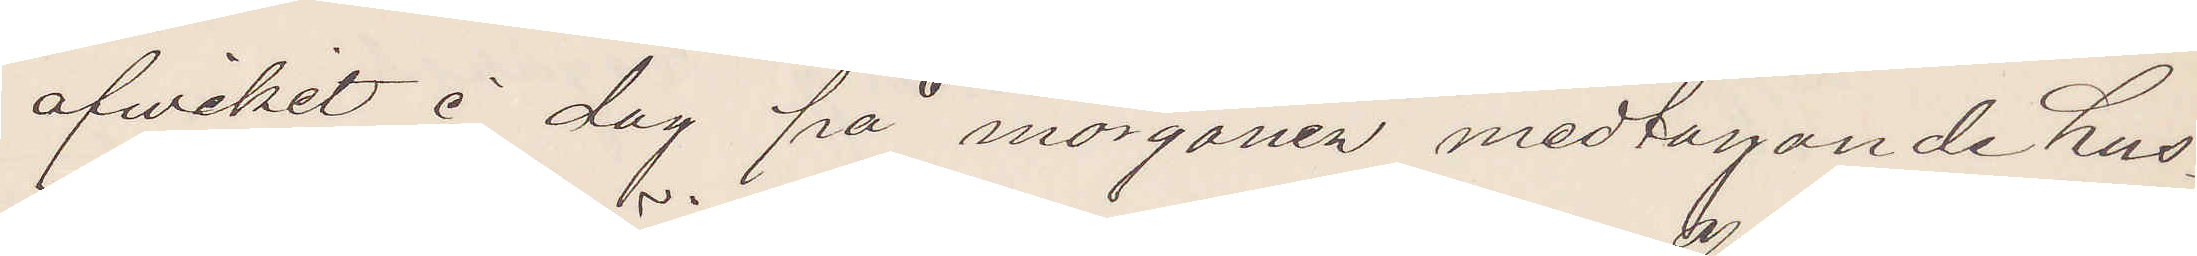afvikit å dag på morgonen medtagande hus¬
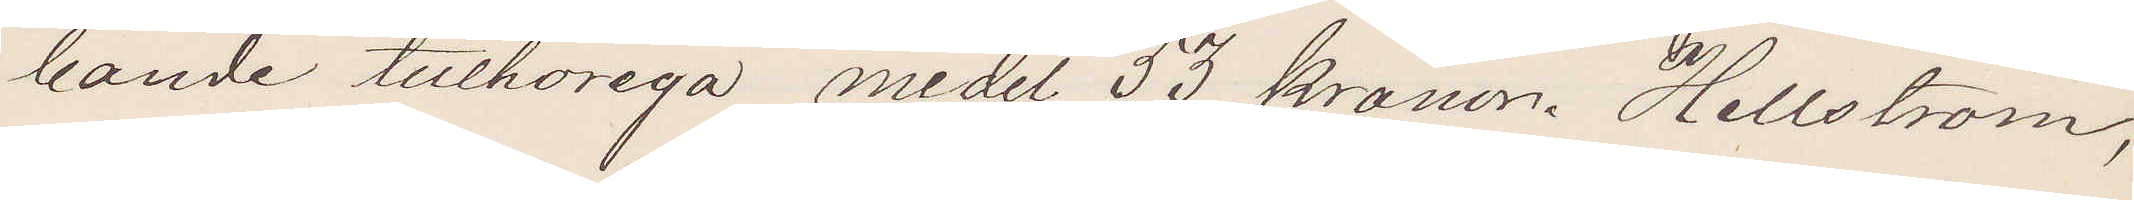bonde tillhöriga medel 53 kronor. Hellström,
